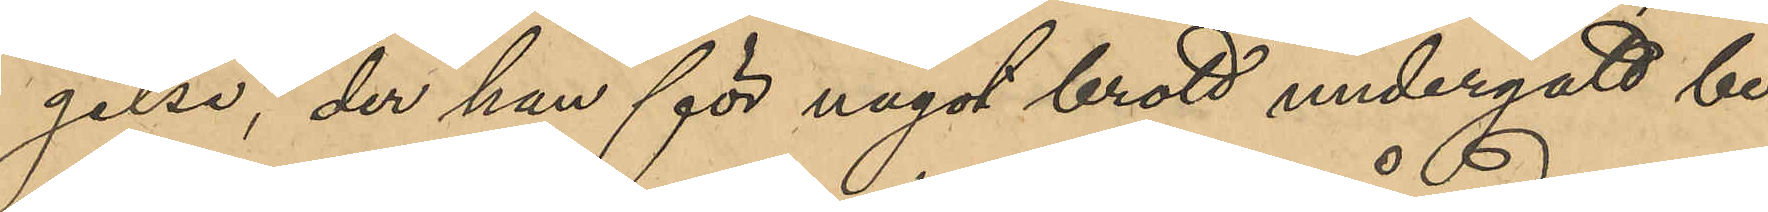gelse, der han för något brott undergått be¬
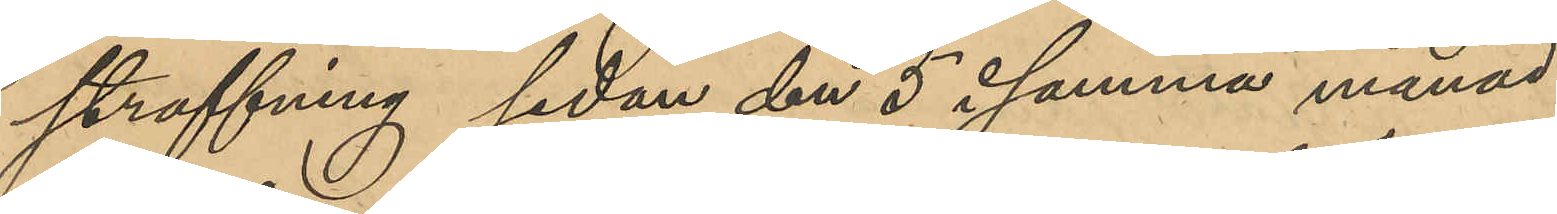straffning sedan den 5 i samma månad.
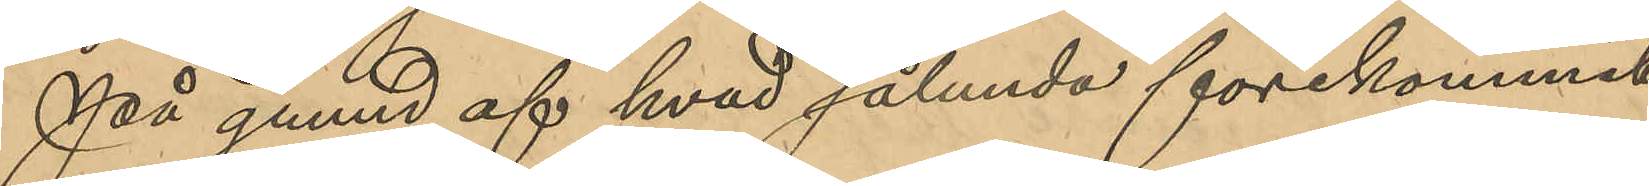På grund af hvad sålunda förekommit
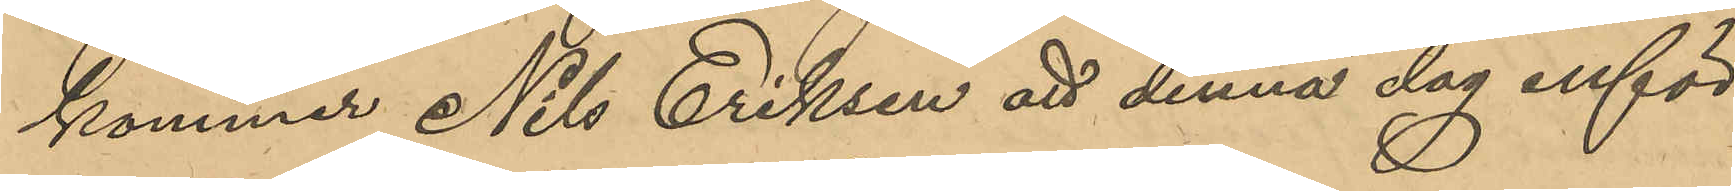kommer Nils Eriksen att denna dag inför
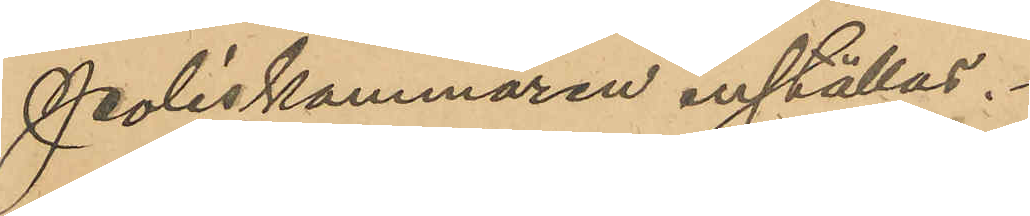Poliskammaren inställas.
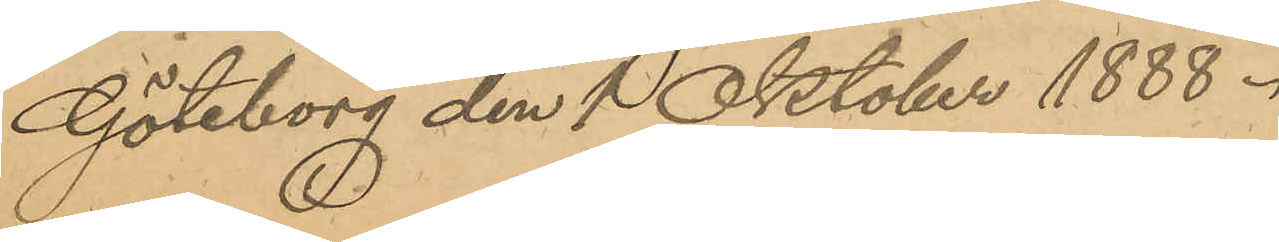Göteborg den 1 Oktober 1888.
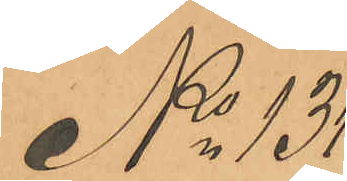No 131.
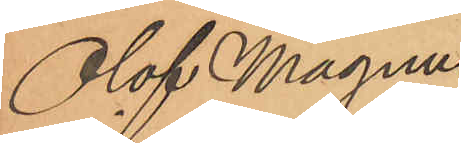Olof Magnus
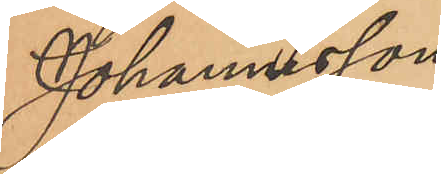Johannesson
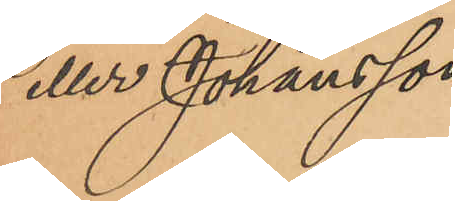eller Johansson
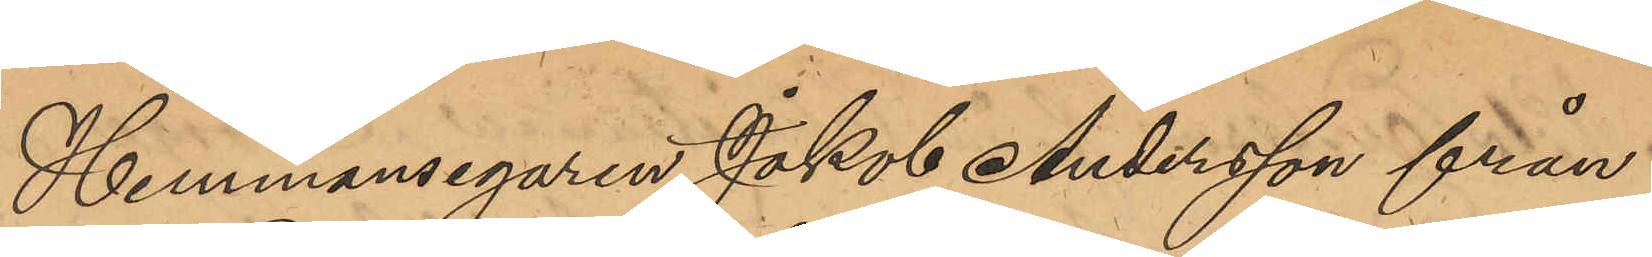Hemmansegaren Jakob Andersson från
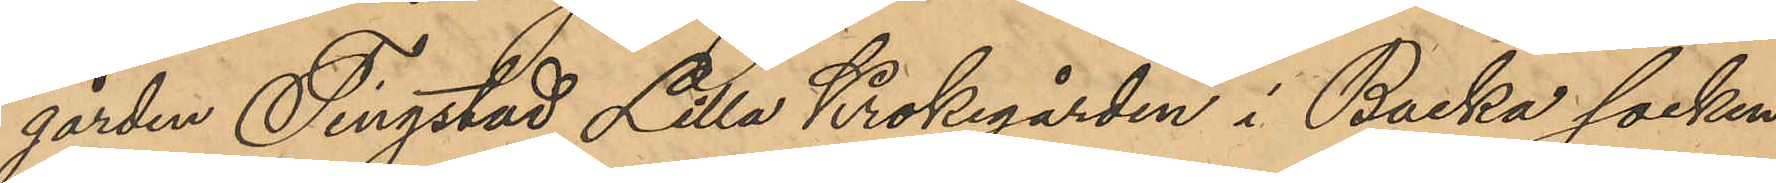gården Tingstad Lilla Krokegården i Backa socken
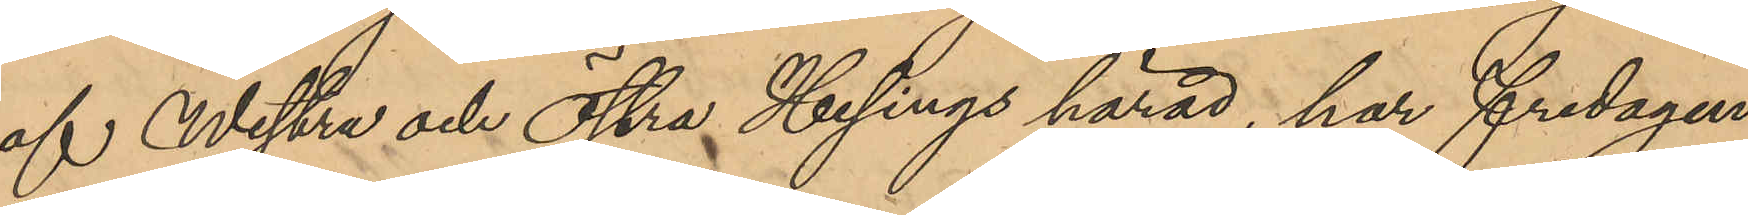af Westra och Östra Hisings härad, har fredagen
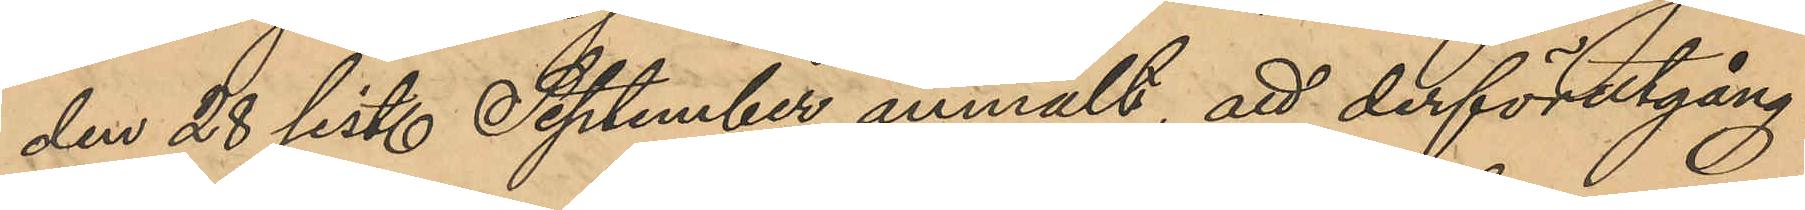den 28 sist. September anmält, att derförutgång¬
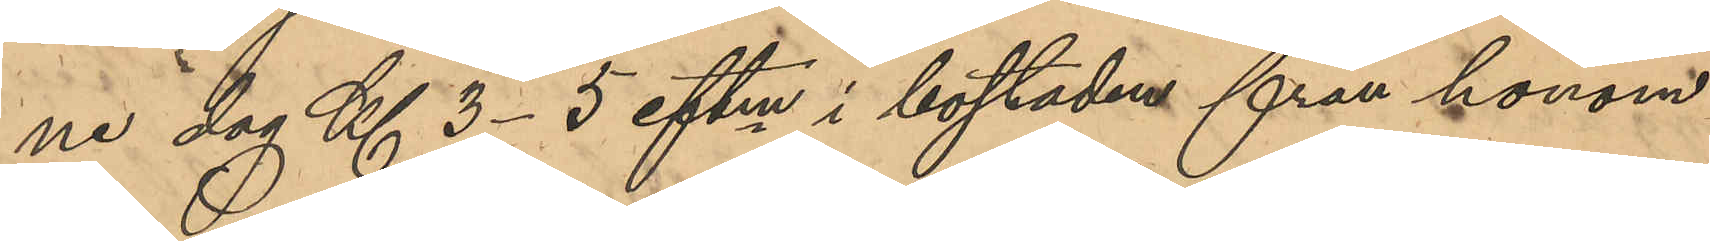ne dag Kl 3-5 eftm i bostaden från honom
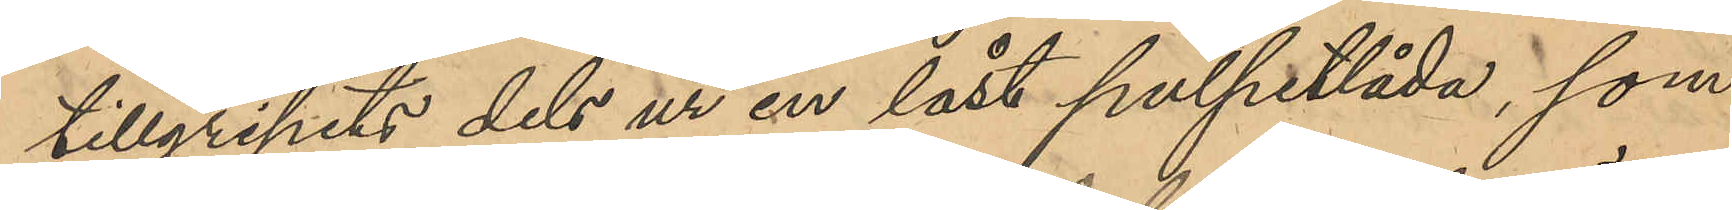tillgripits dels ur en låst pulpetlåda, som
